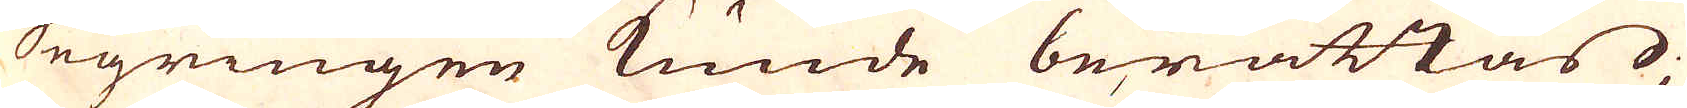Segringen kunde berättas;
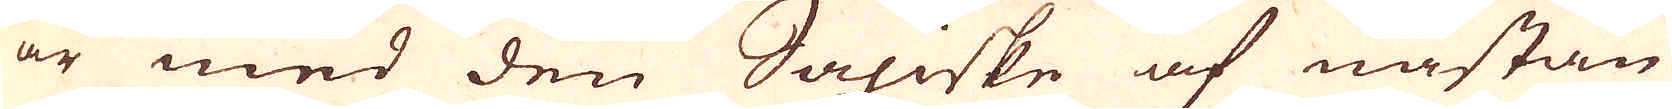är med den Saxiske af nästan
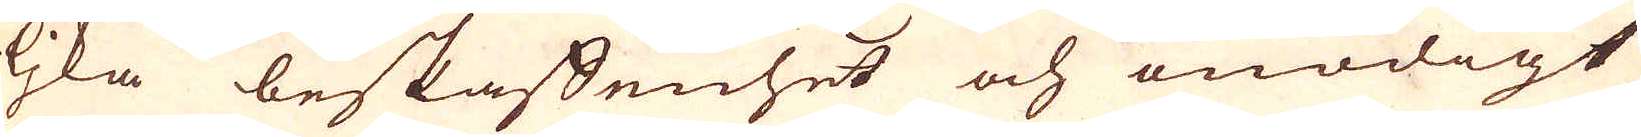lika beskaffenhet och onödigt
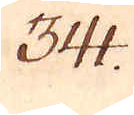341.
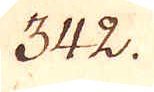342.
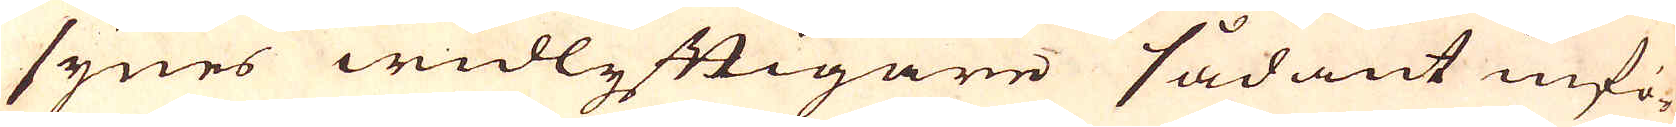synes widlyftigare sådant infö-
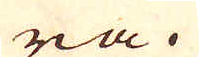ra.
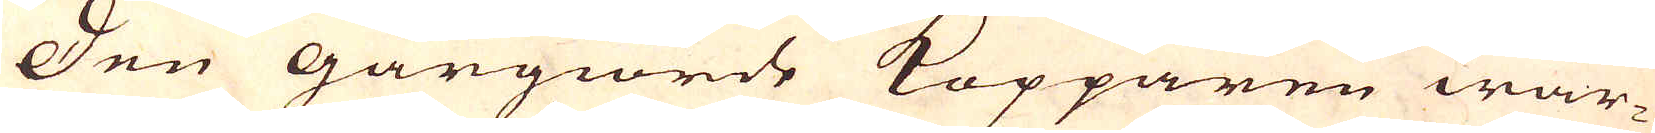Den Gårgiorde Kopparen war-
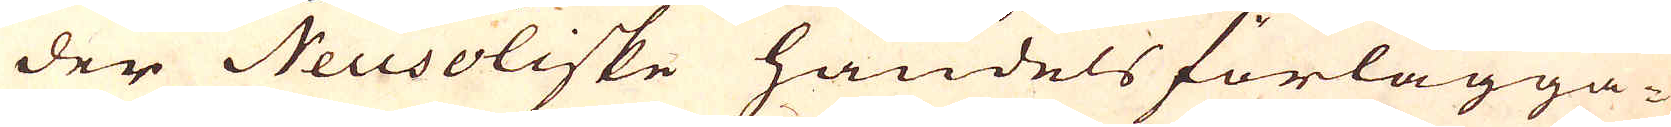der Neusoliske handels förlägga-
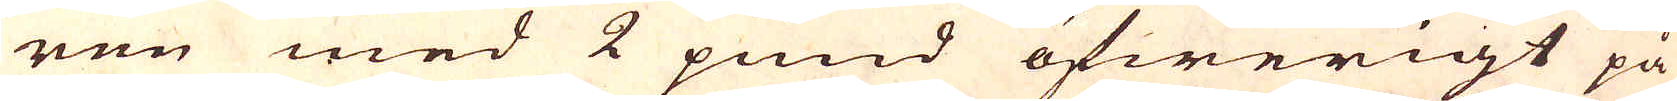ren med 2 pund öfwerigt på
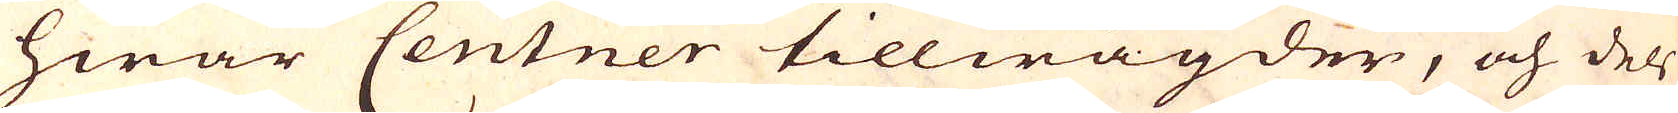hwar Centner tillwägder, och dels
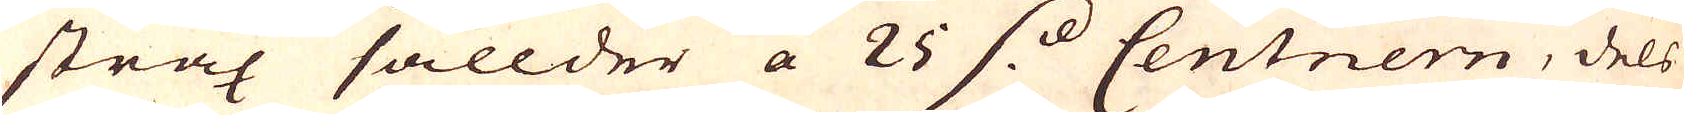strax sålldes a 25 s. Centnern, dels
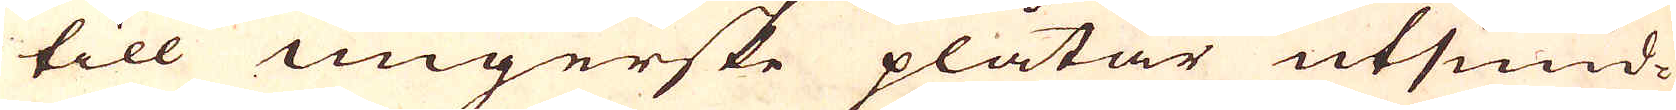till ungerske plåtar utsmid-
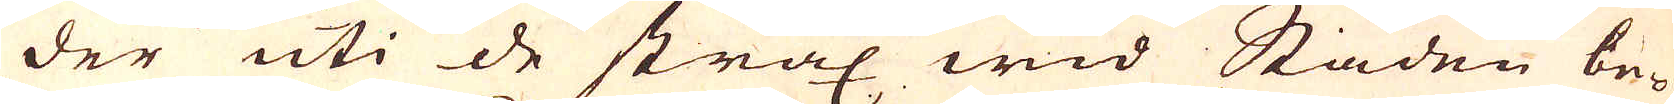des uti de strax wid Staden be-
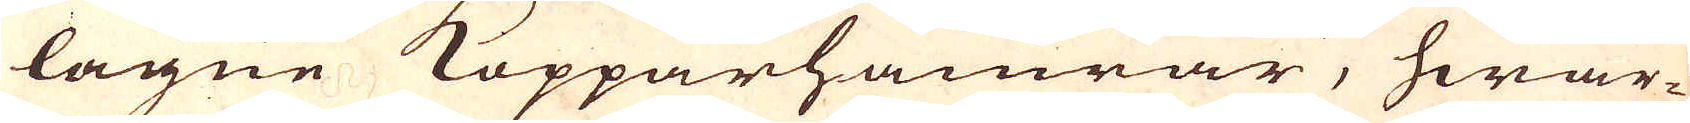lägne Kopparhamrar, hwar-
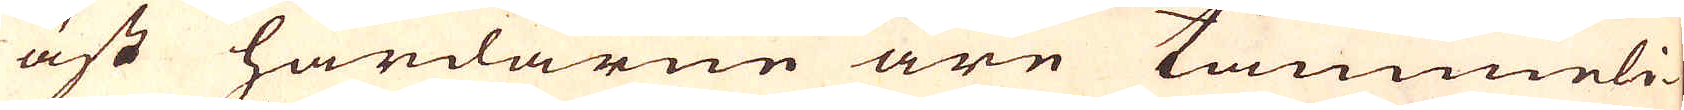äst härdarne äre tämmeli-
